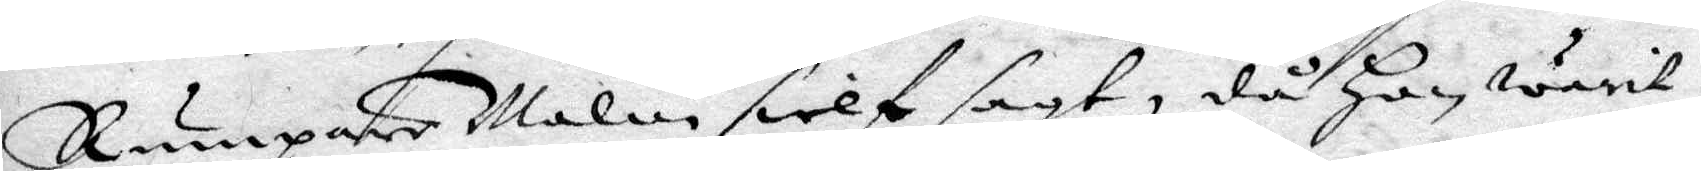Rumpare Malin sielf sagt, då Hon warit
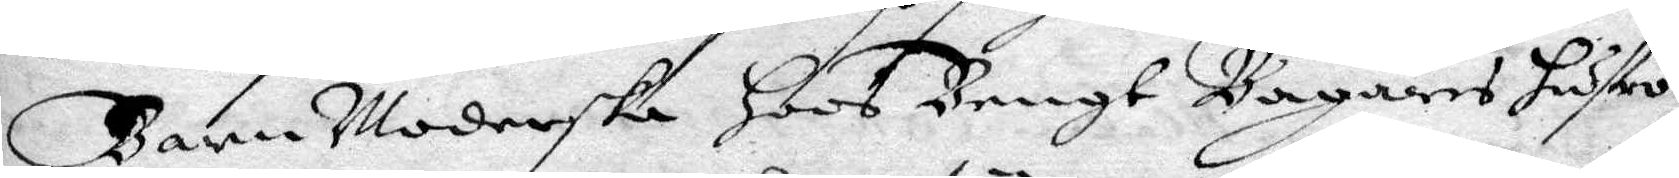Barn Moderska Hoos Bengt Bagares hustro
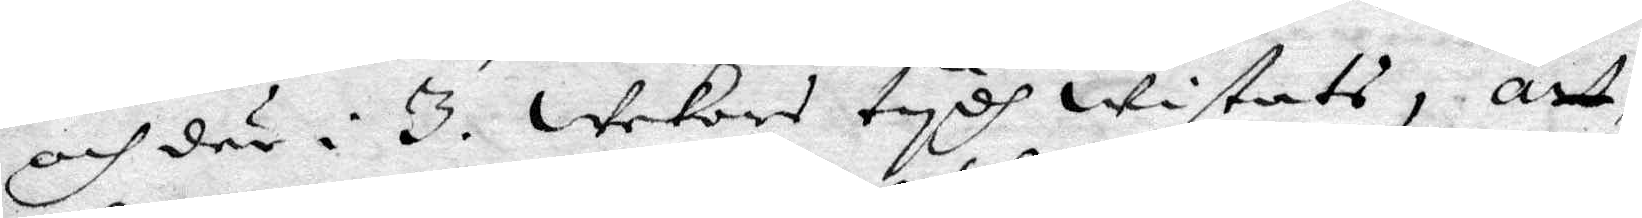och där i 3. wekors tydh wistats, att
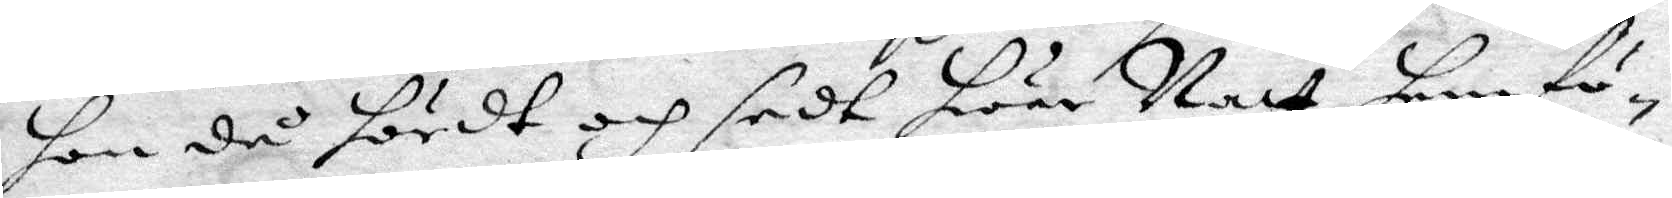hon då hördt och sedt hwar Natt hem fö¬
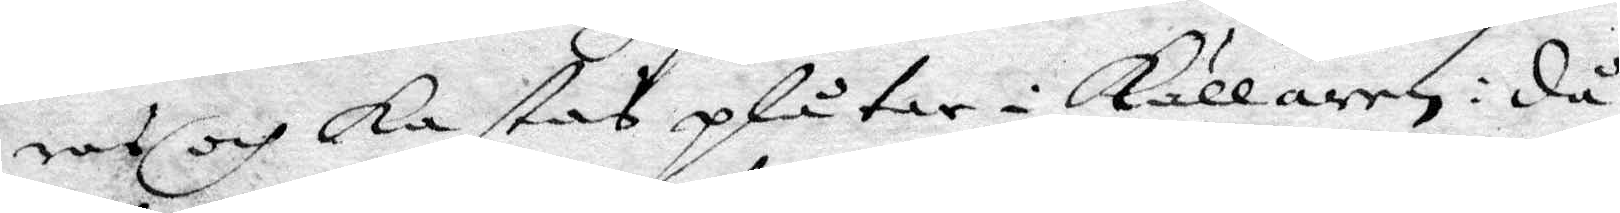ras och kastas plåtar i Källaren: då
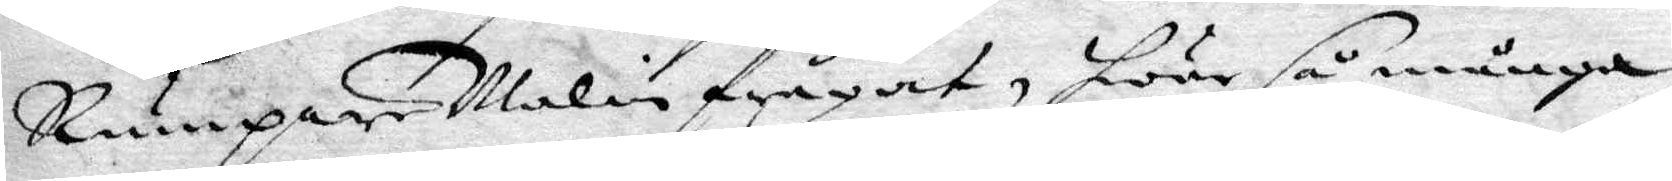Rumpare Malin frågat, hwar så många
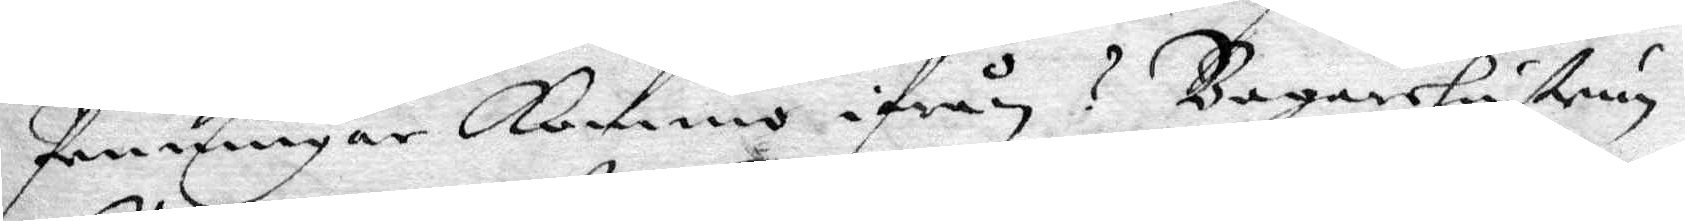Penningar Kommo ifrån? Bagarehustrun
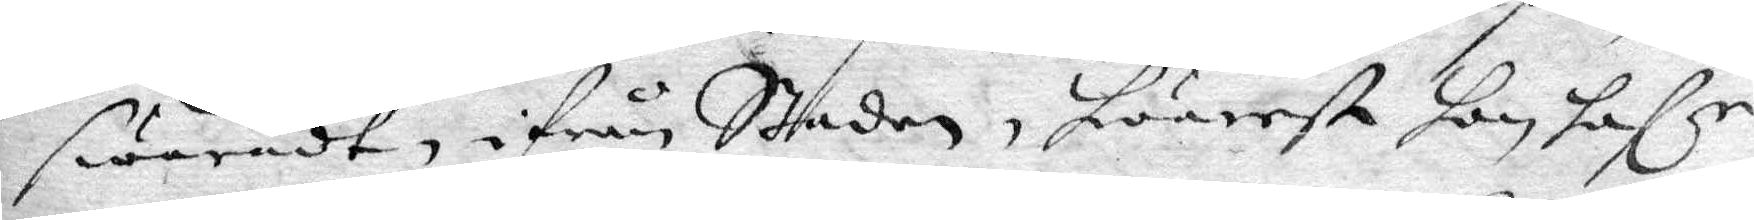swarat, ifrån Staden, hwarest hon hafr
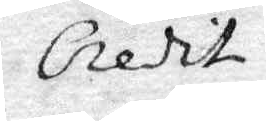Credit
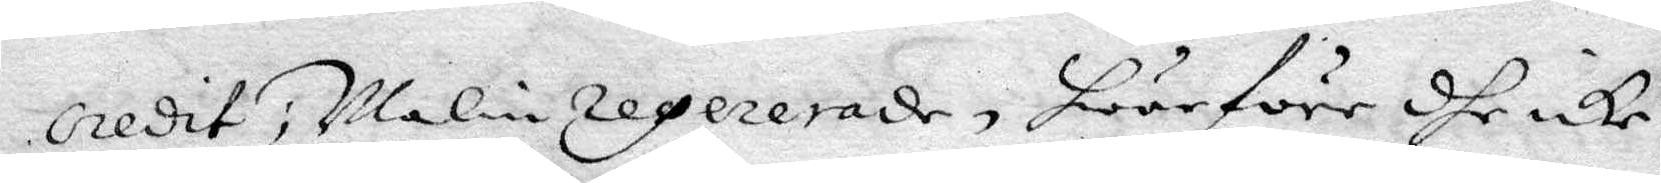credit, Malin regererade, hwarföre dhe icke
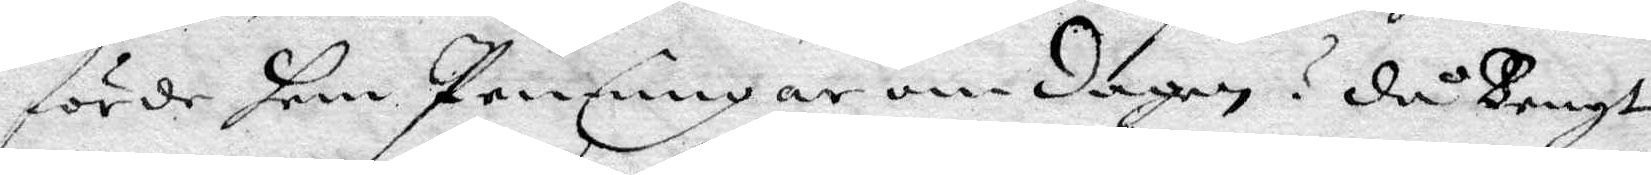förde hem Penningar om dagen? då Bengt
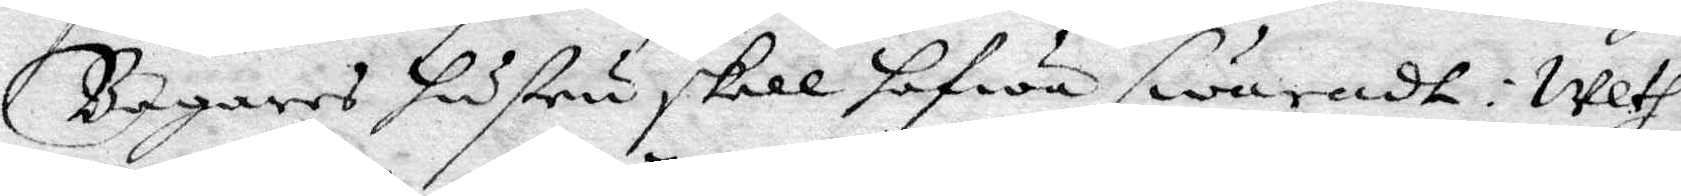Bagares hustru skall hafwa swaradt: Weth
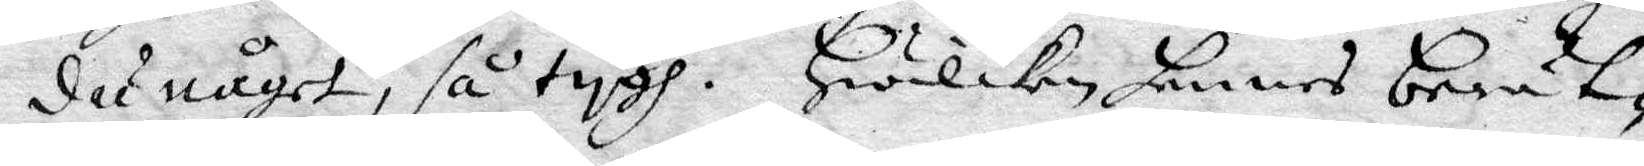du något, så tygh. Hwilken hennes berät¬
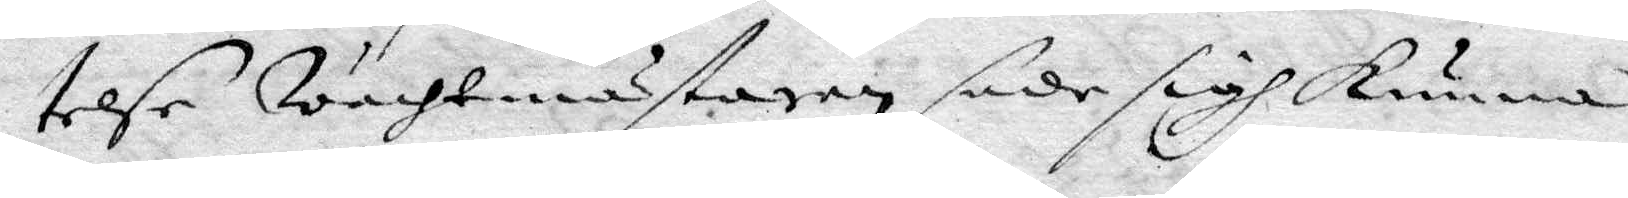telse Wachtmästaren sade sig kunna
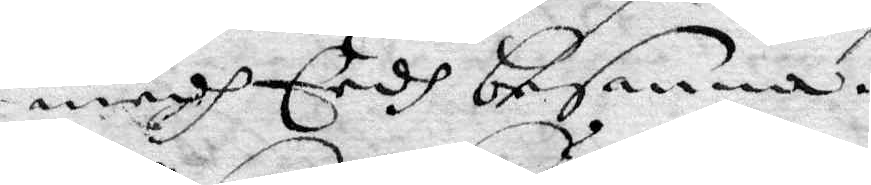medh Eedh besanna.
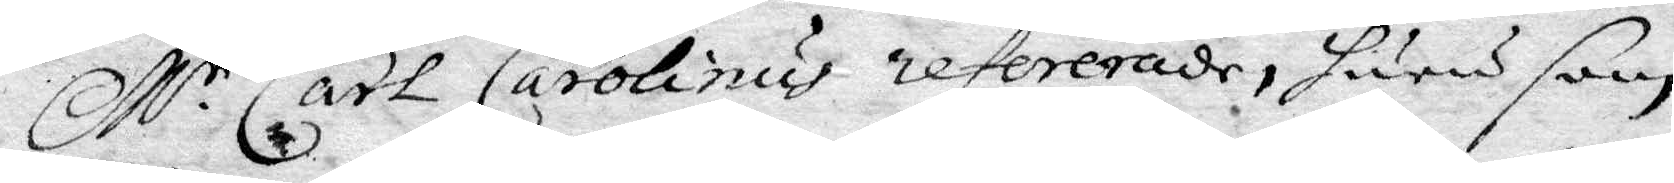M.r Carl Carolinus refererade, huru som
